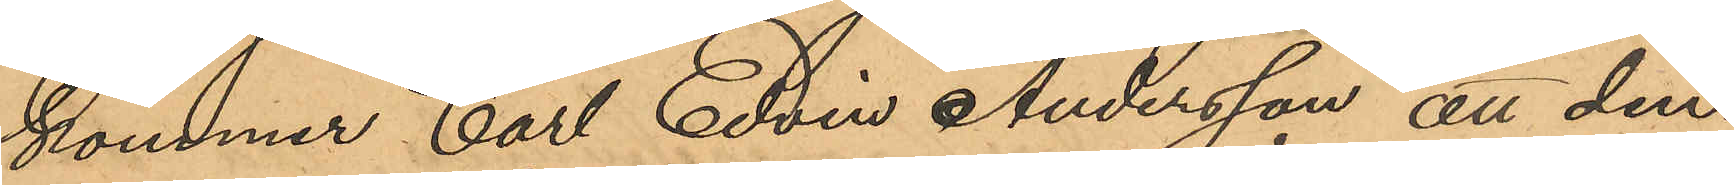kommer Carl Edvin Andersson att den¬
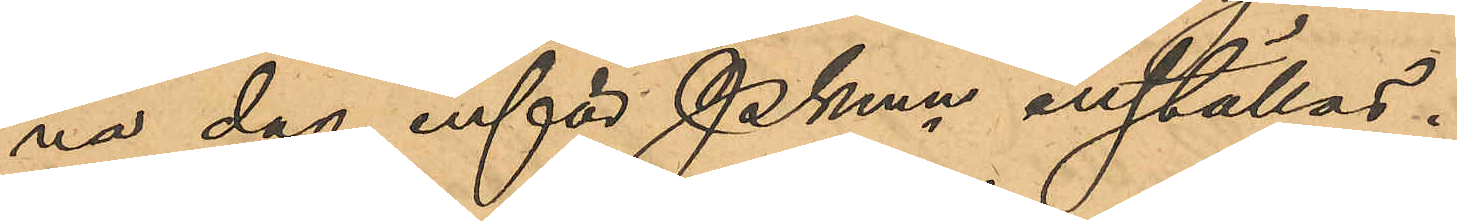na dag inför Pkmn inställas.
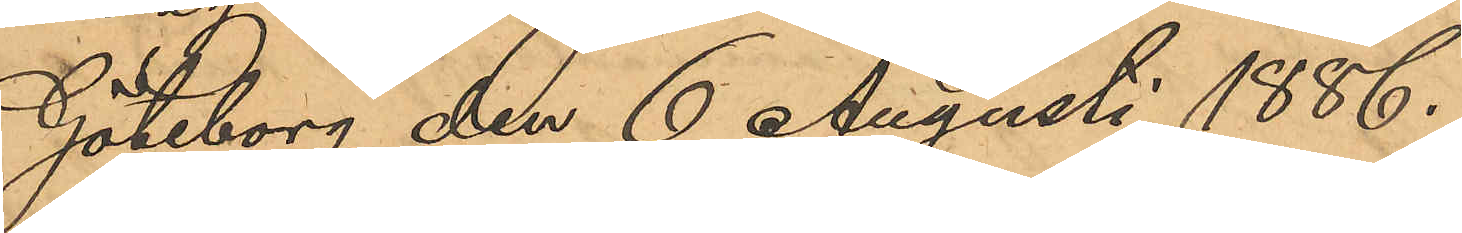Göteborg den 6 Augusti 1886.
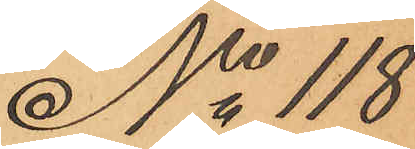No 118
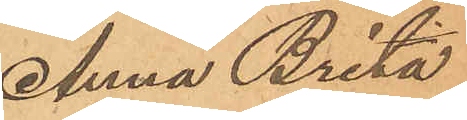Anna Brita
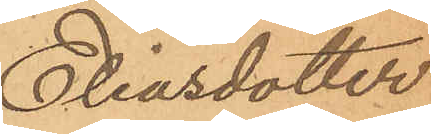Eliasdotter
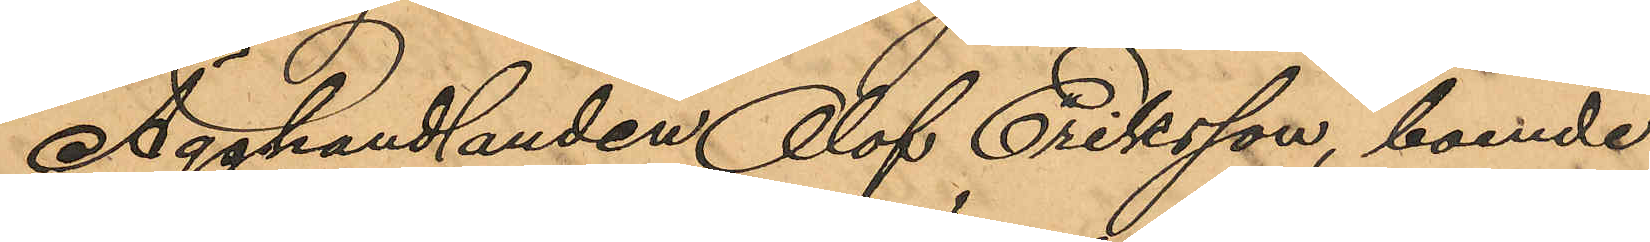Ägghandlanden Olof Eriksson, boende
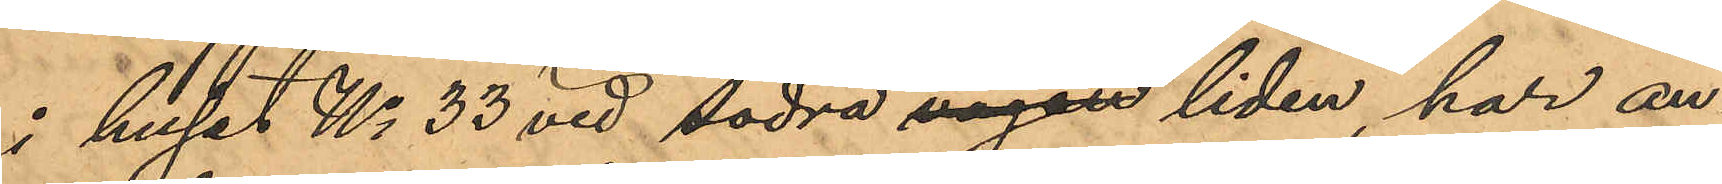i huset No 33 vid Södra vägen liden, har an¬
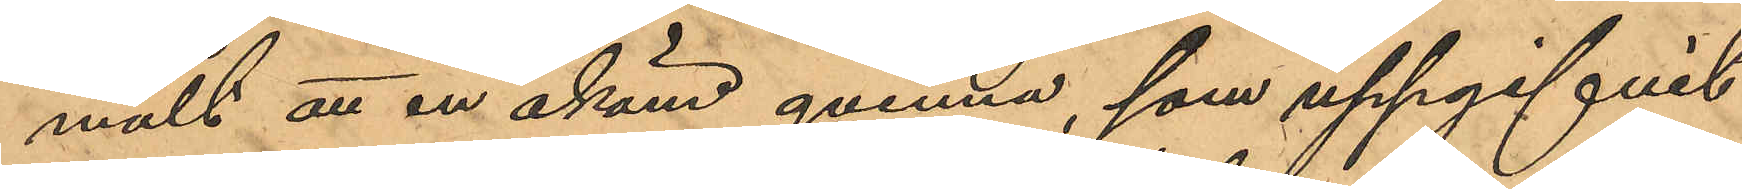mält att en okänd qvinna, som uppgifvit
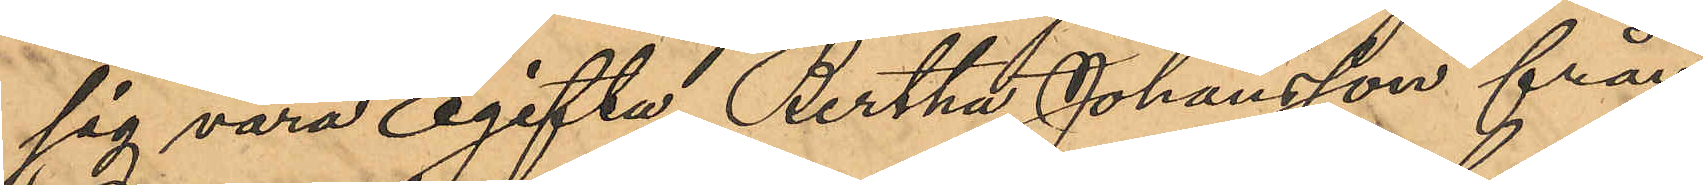sig vara ogifta Bertha Johansson från
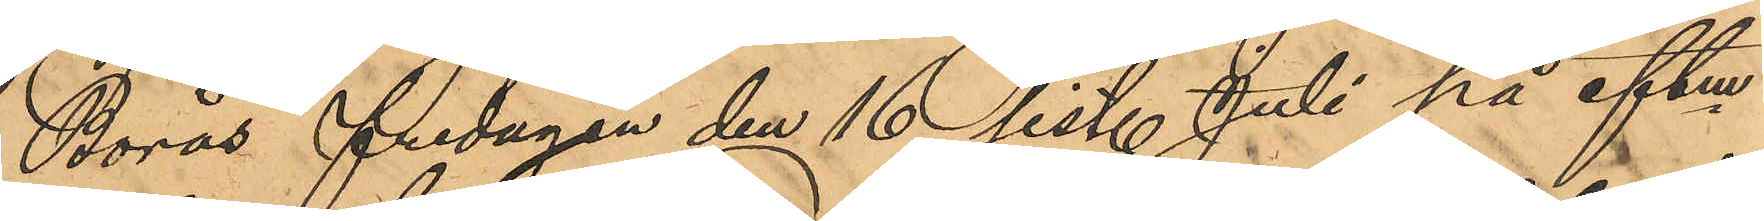Borås fredagen den 16 sist. Juli på eftm
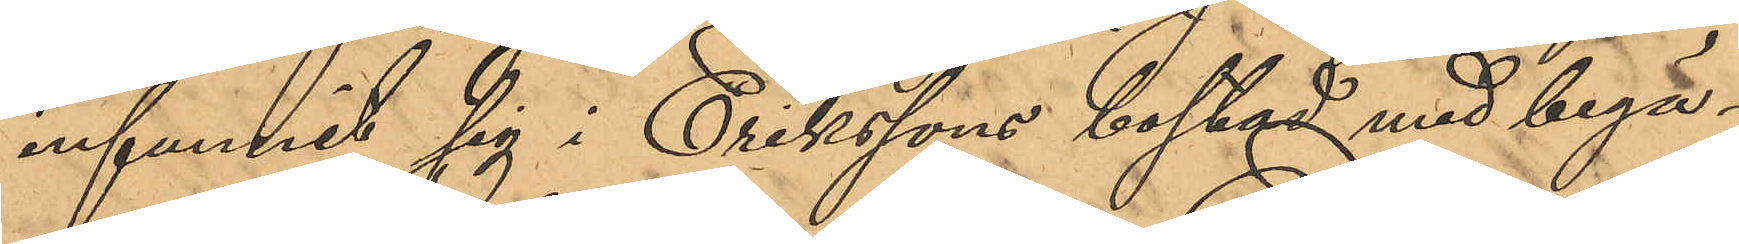infunnit sig i Erikssons bostad med begä¬
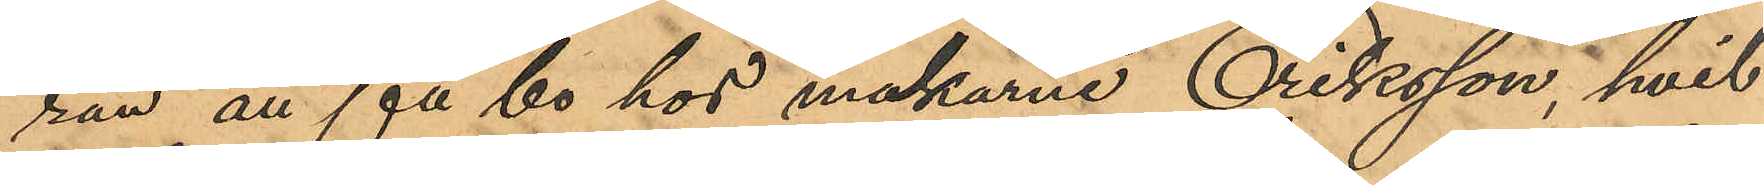ran att få bo hos makarna Eriksson, hvil¬
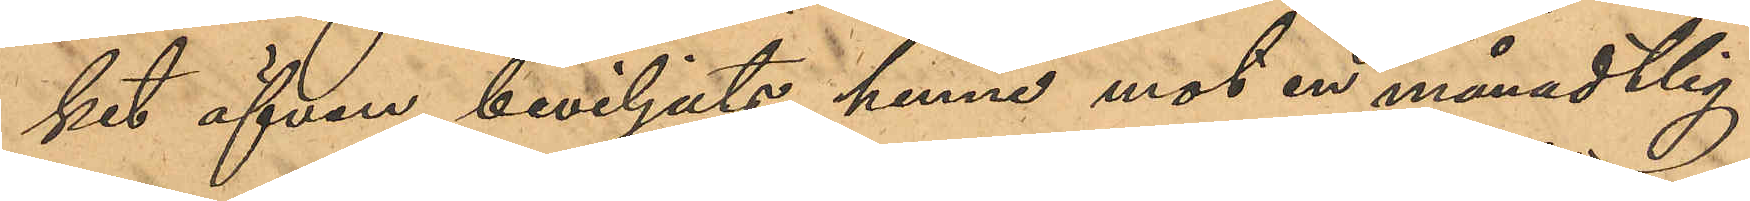ket äfvan beviljats henne mot en månadtlig
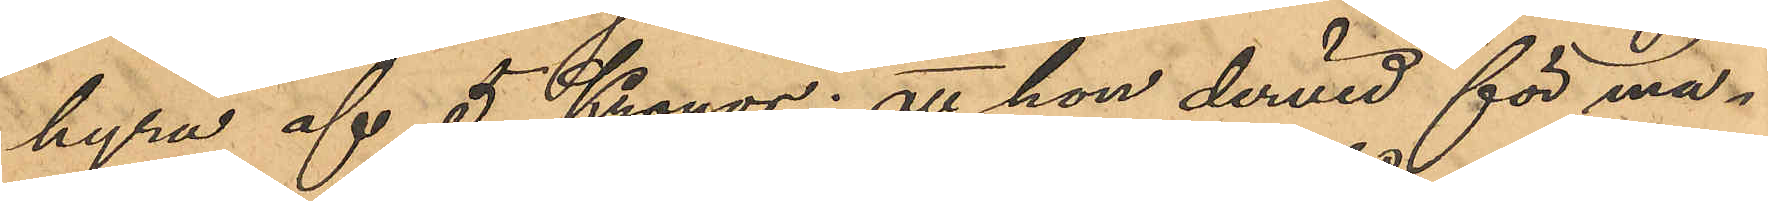hyra af 5 Kronor; att hon dervid för ma¬
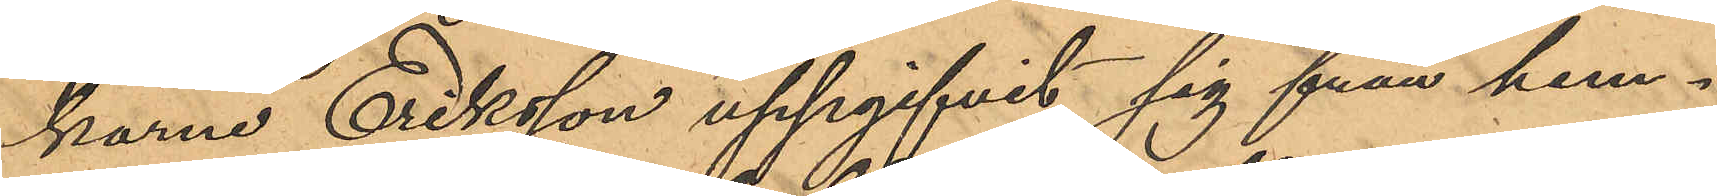karne Eriksson uppgifvit sig från hem¬
